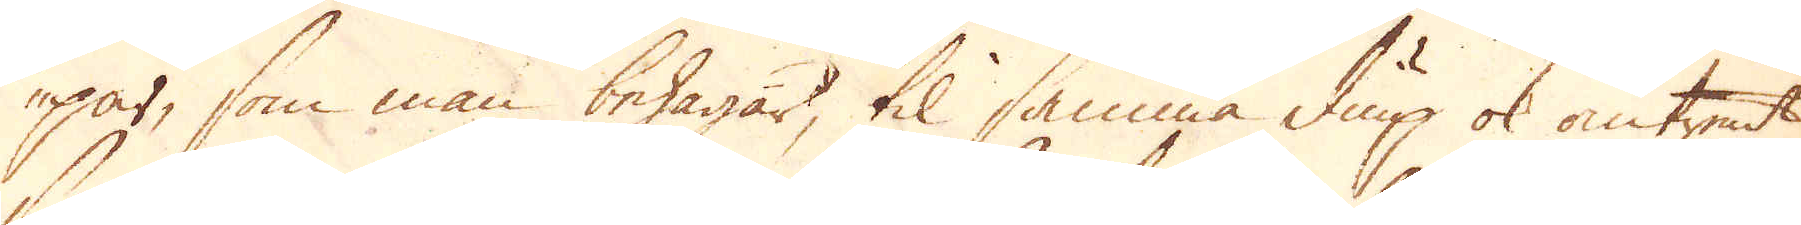par, som man behagar, til samma diup ok omtrent
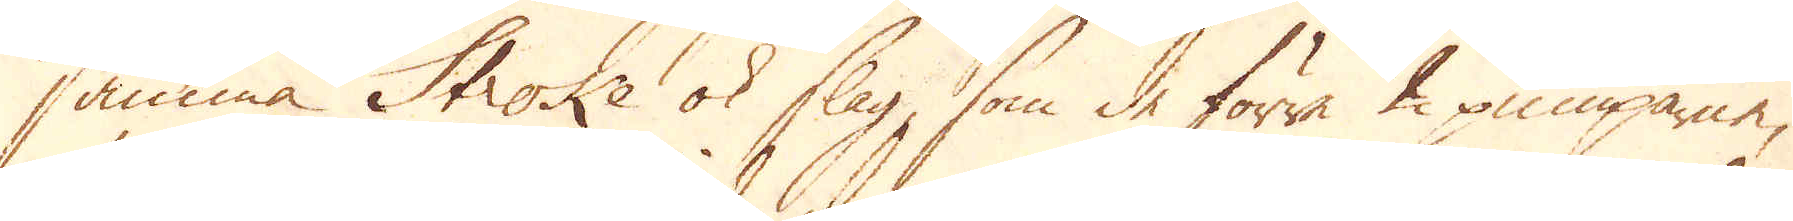samma Stroke ok slag, som de förra 2 pumparne,
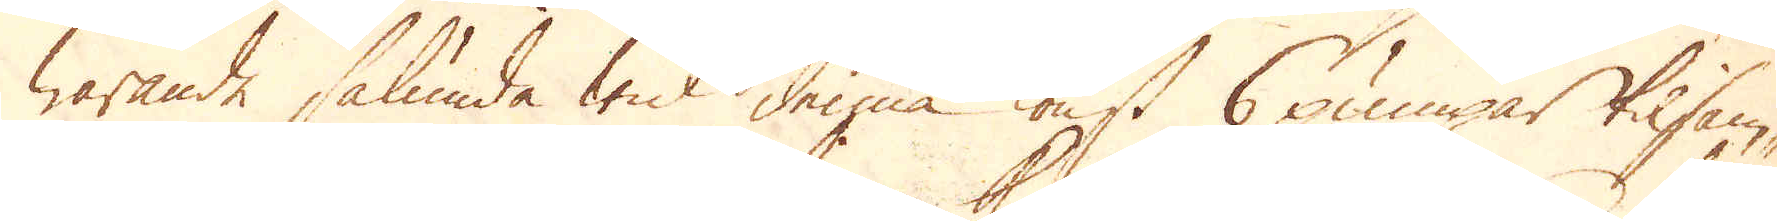warande sålunda wid denna konst 6 pumpar tilsam-
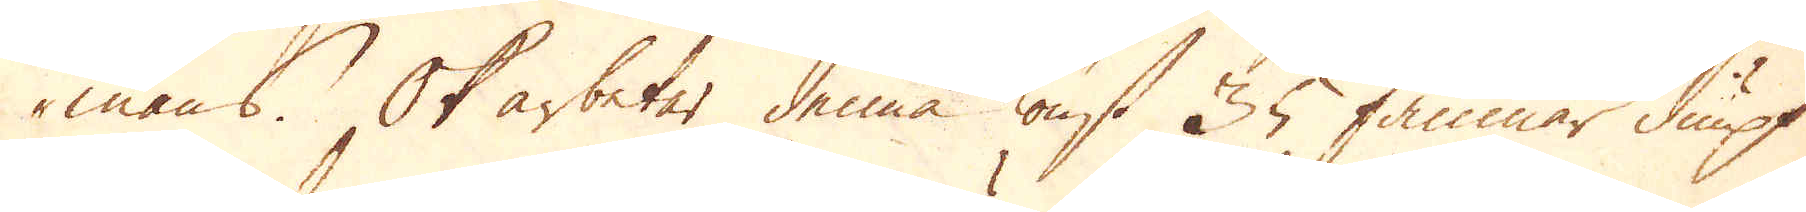mans. Ok arbetar denna konst 35 famnar diupt
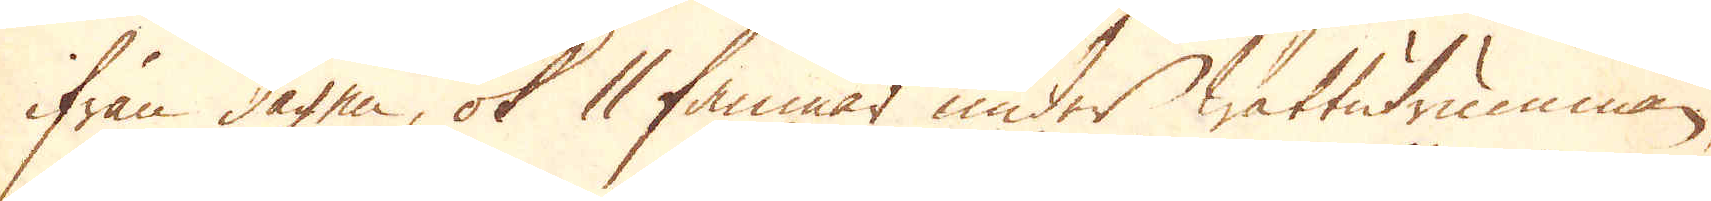ifrån dagen, ok 11 famnar under wattutrumman,
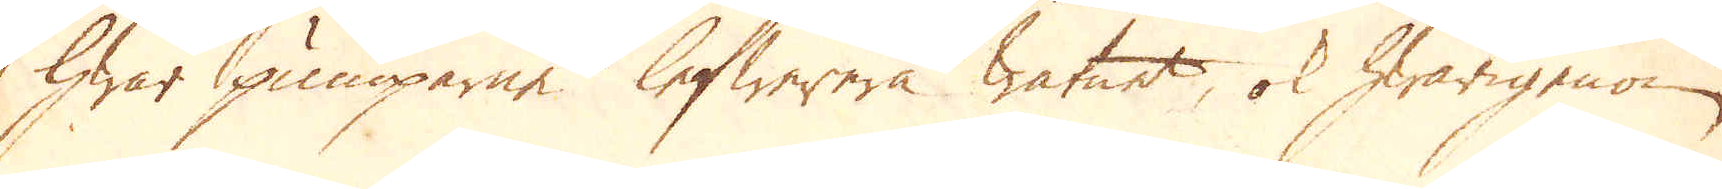hwar pumparne lefwerera watnet, ok hwarigenom
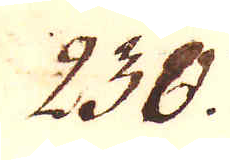230.
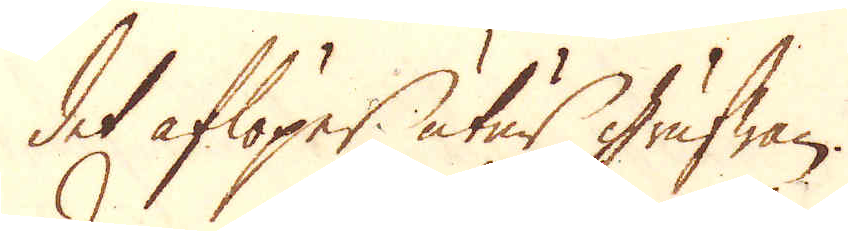det aflöper utur Grufwan.
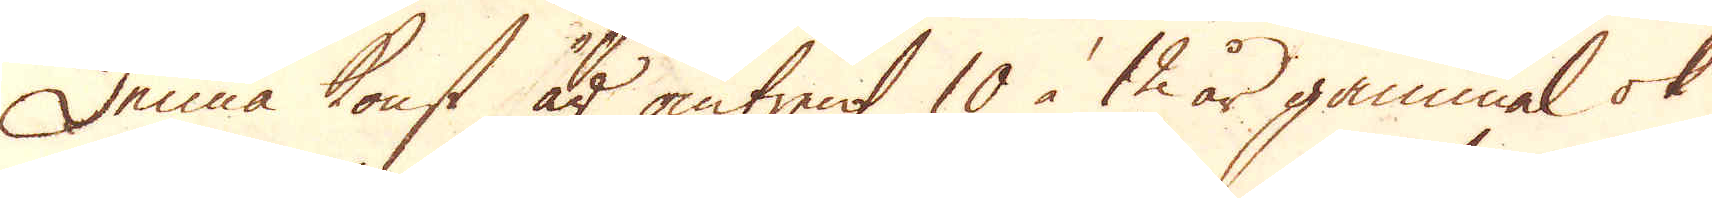Denna konst är omtrent 10 à 12 år gammal ok
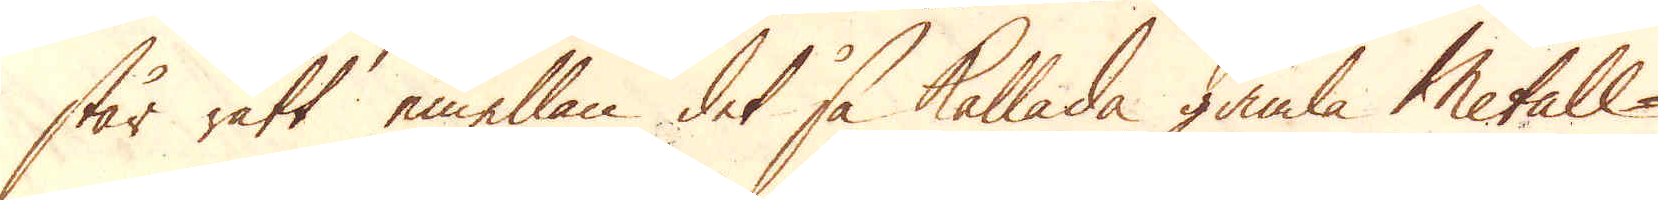står rätt emellan det så kallade gamla Metall-
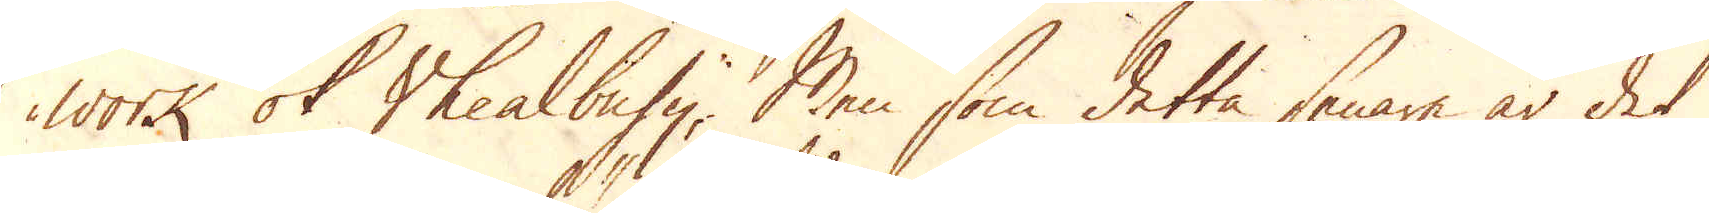work of Vheal busy; Men som detta senare är det
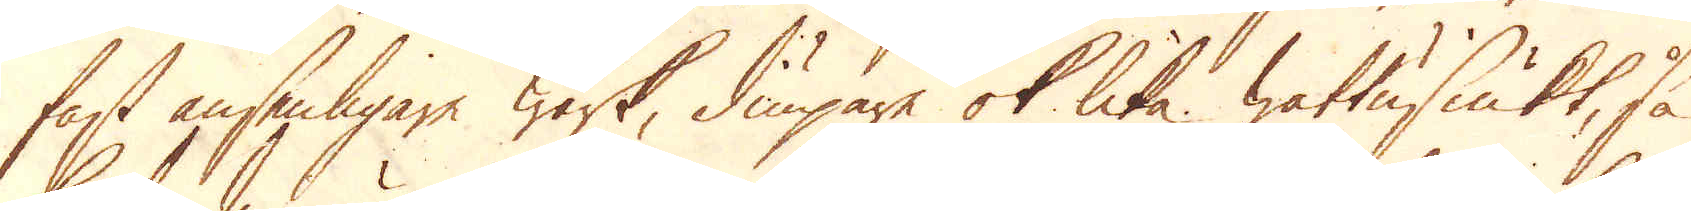fast ansenligare Wärk, diupare ok lika wattusiukt, så
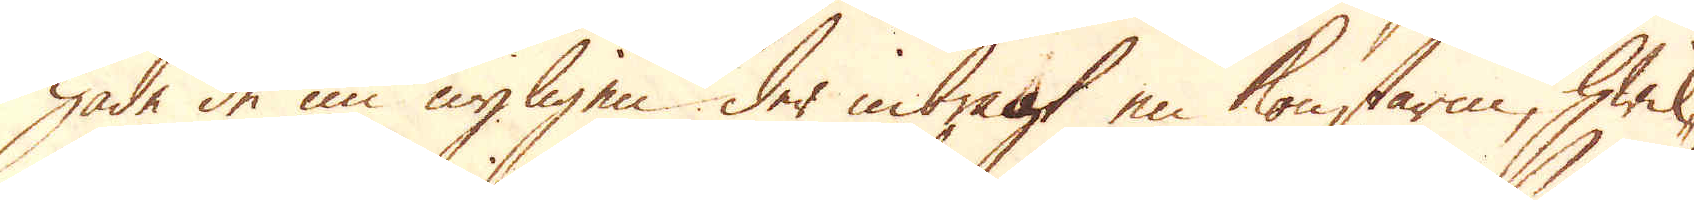hade de nu nyligen der inbragt en konstarm, hwil-
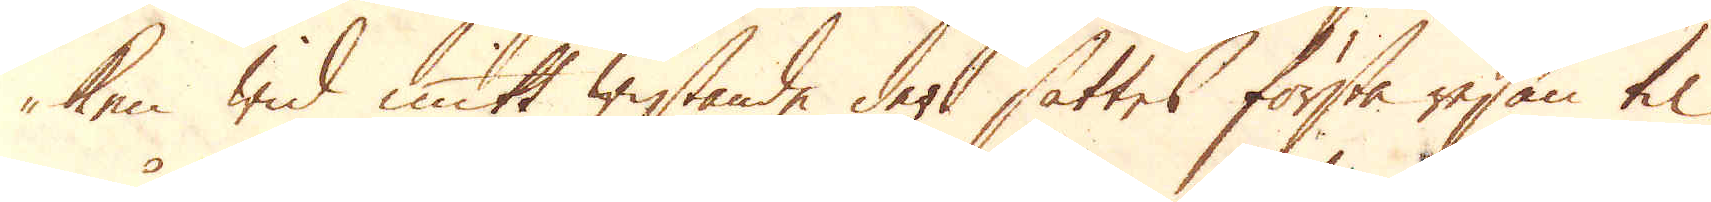ken wid mitt wistande der sattes första resan til
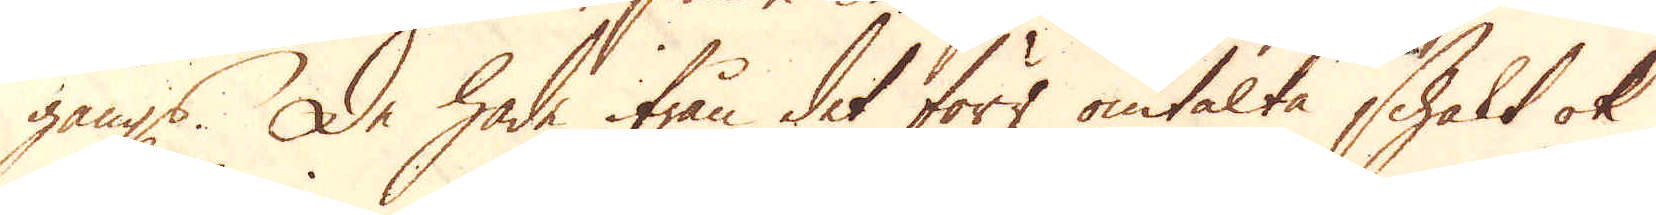gångs. De hade ifrån det förr omtalte schakt ok
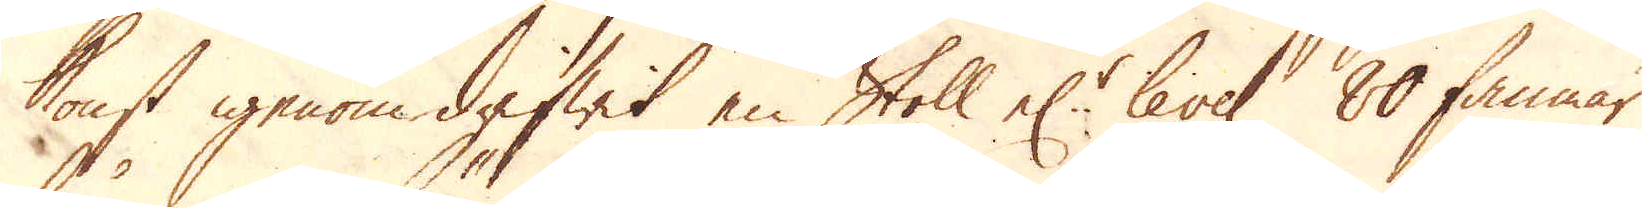konst igenom drifwit en Stoll el:r level 80 famnar
